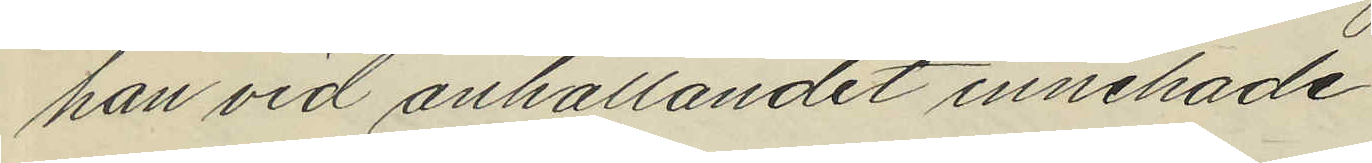han vid anhållandet innehade.
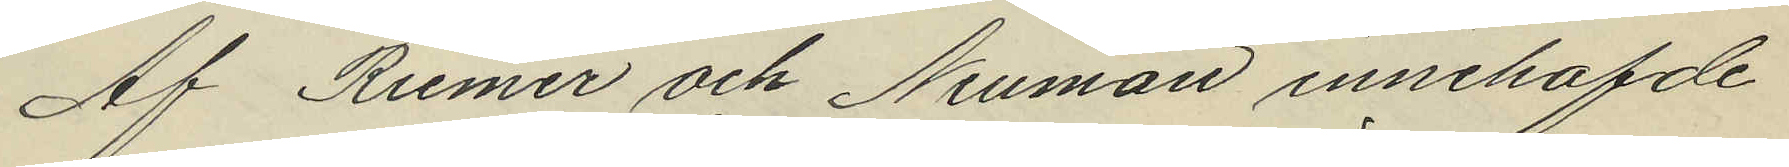Af Riemer och Neuman innehafde
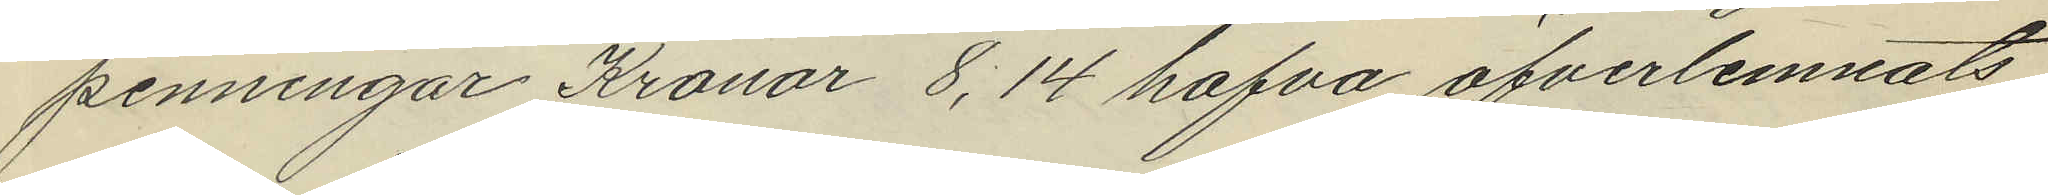penningar Kronor 8,14 hafva öfverlemnats
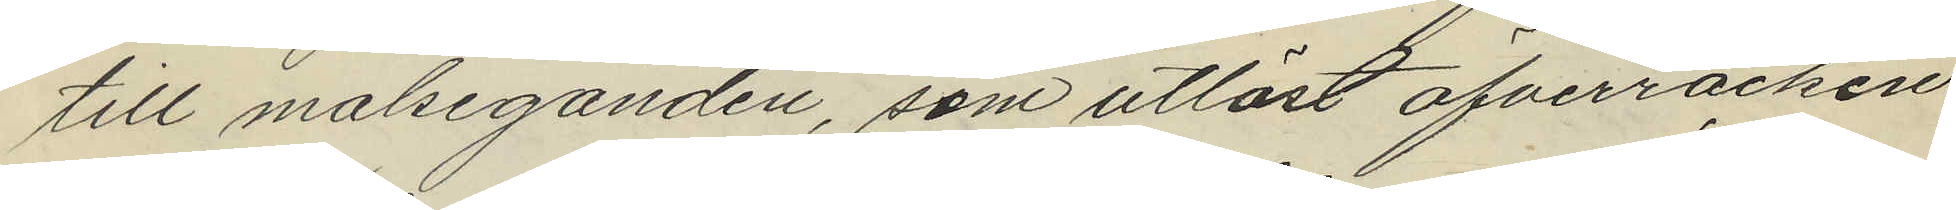till målseganden, som utlöst öfverrocken.
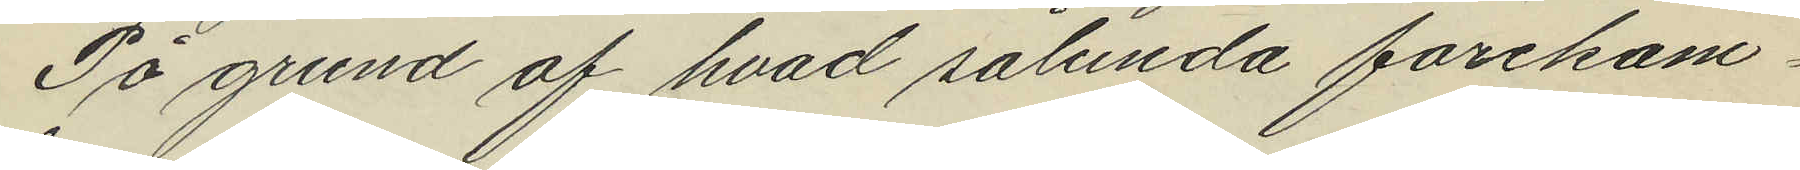På grund af hvad sålunda förekom¬
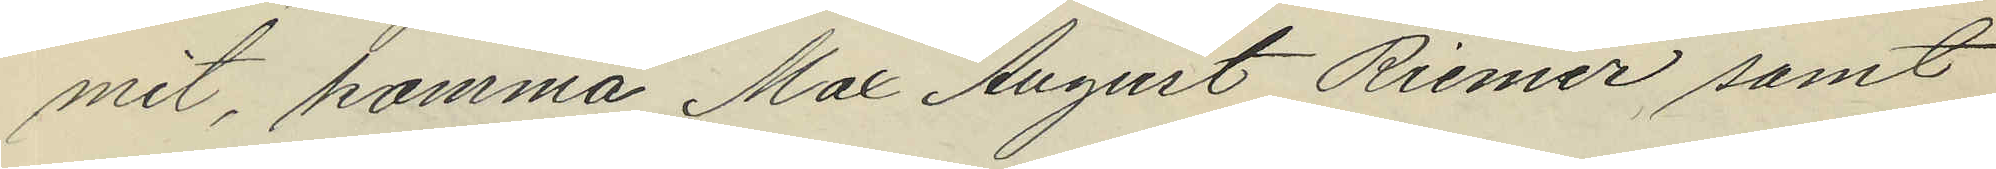mit, komma Max August Riemer samt
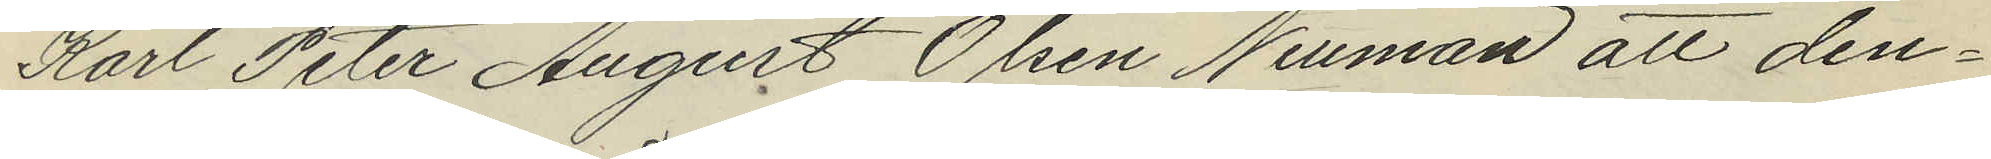Karl Peter August Olsen Neuman att den¬
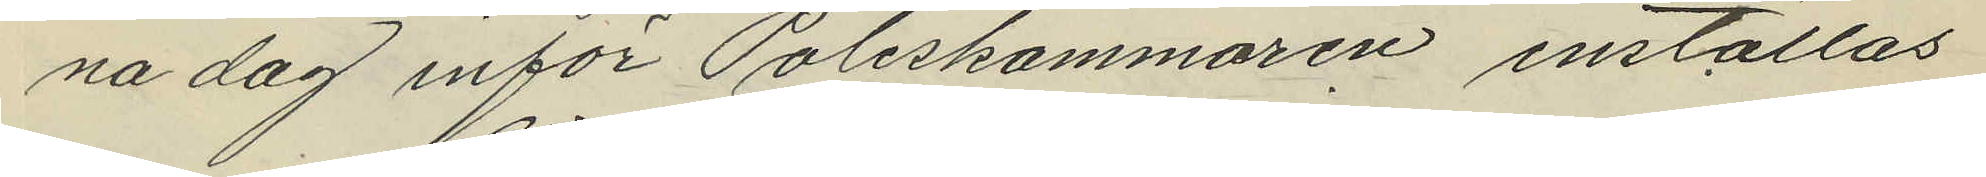na dag inför Poliskammaren inställas
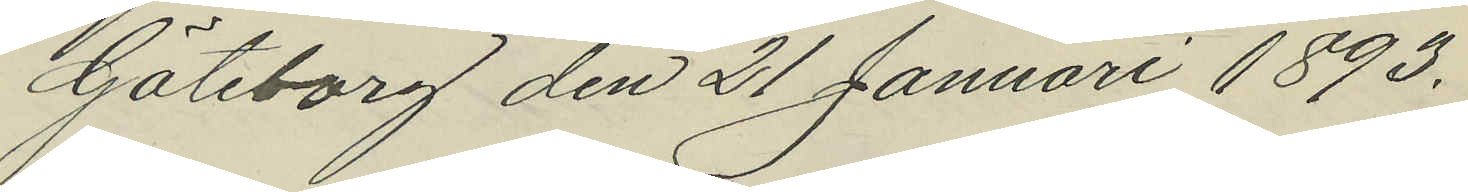Göteborg den 21 Januari 1893.
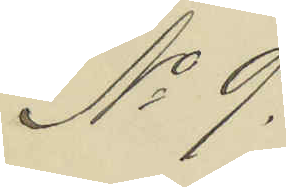No 9.
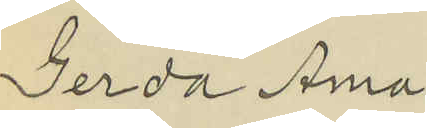Gerda Ama¬
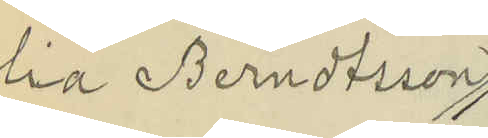lia Berndtsson
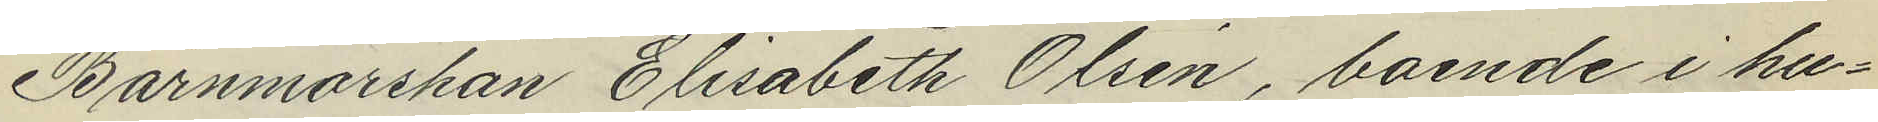Barnmorskan Elisabeth Olsén, boende i hu¬
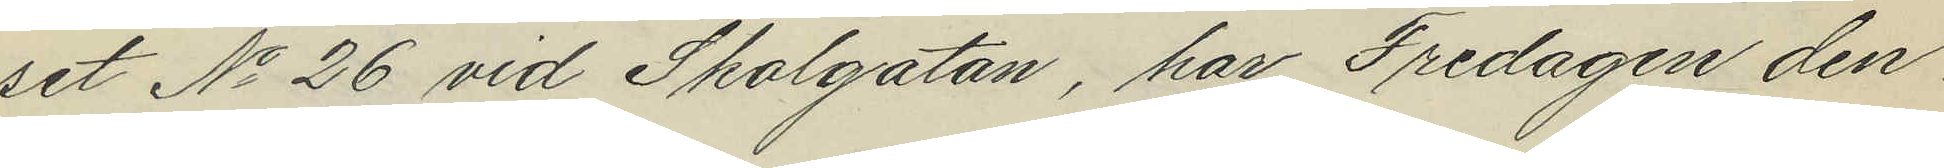set No 26 vid Skolgatan, har Fredagen den
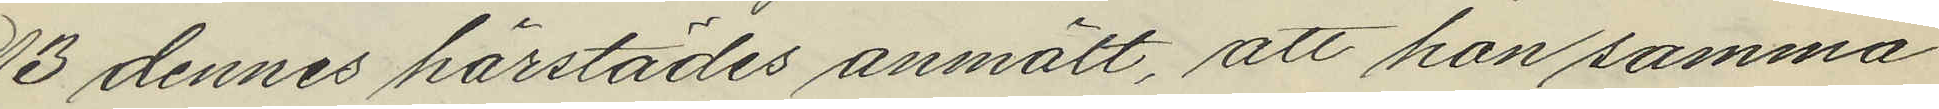13 dennes härstädes anmält, att hon samma
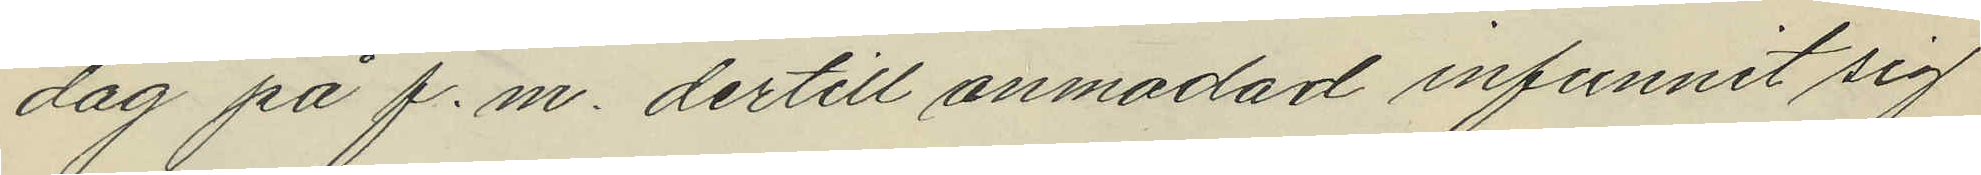dag på f.m. dertill anmodad infunnit sig
